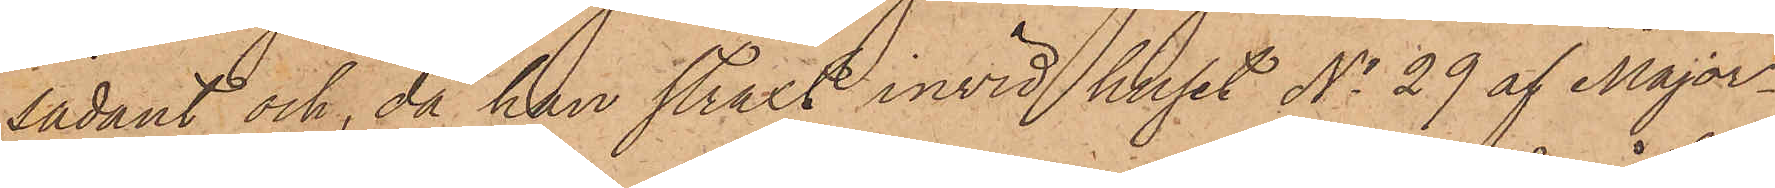sådant och, då han straxt invid huset No 29 af Major¬
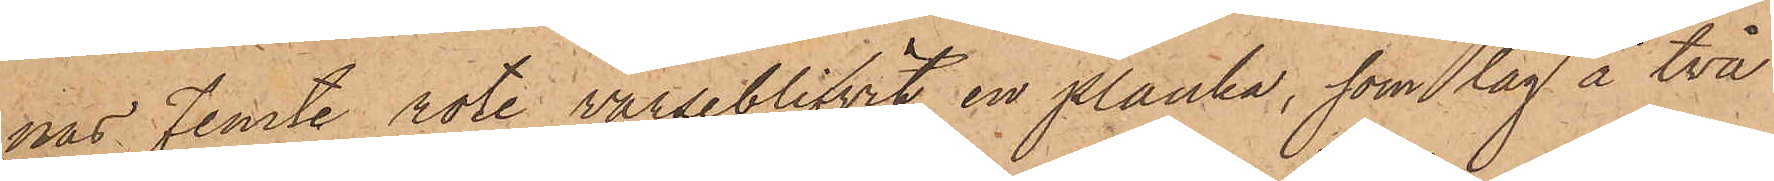nas Femte rote varseblifvit en planka, som låg å två
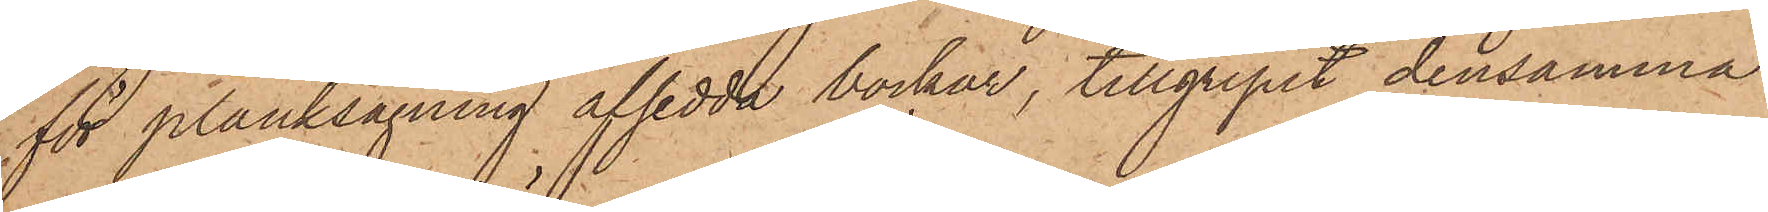för planksågning afsedda bockar, tillgripit densamma
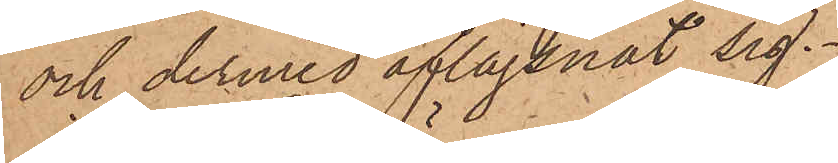och dermed aflägsnat sig.
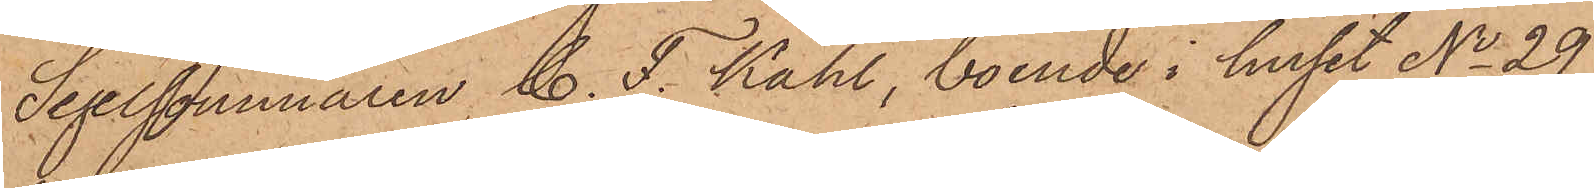Segelsömmaren C. F. Kahl, boende i huset No 29
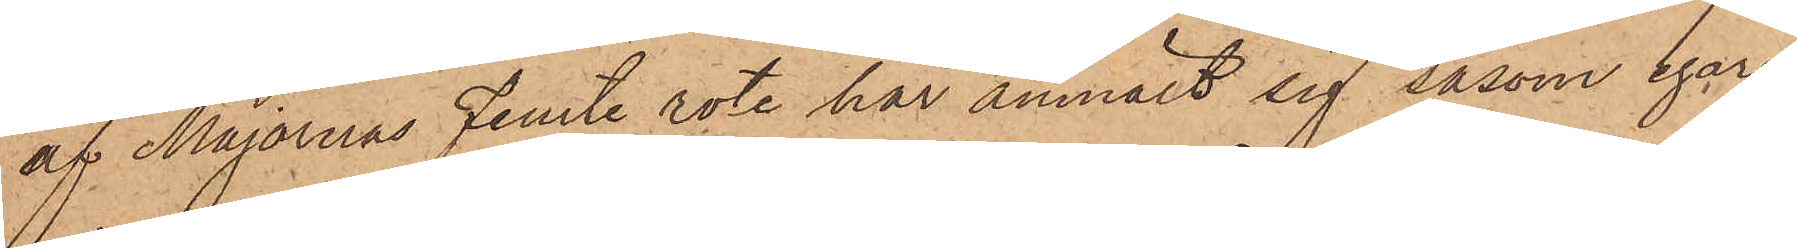af Majornas Femte rote har anmält sig såsom egare
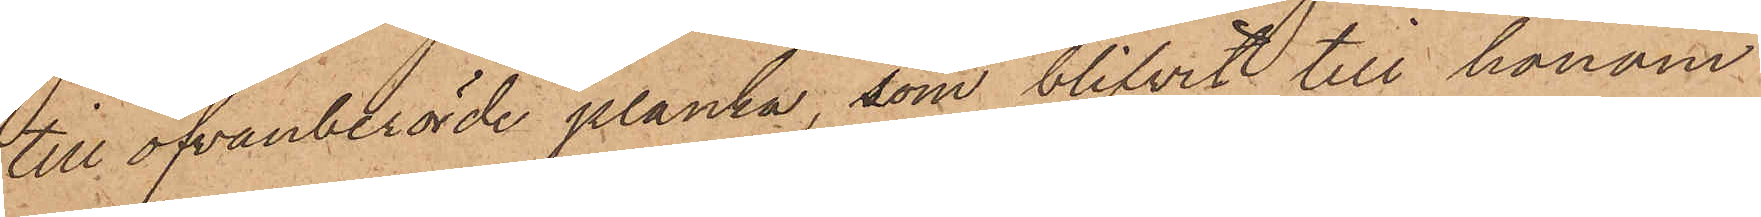till ofvanberörde planka, som blifvit till honom
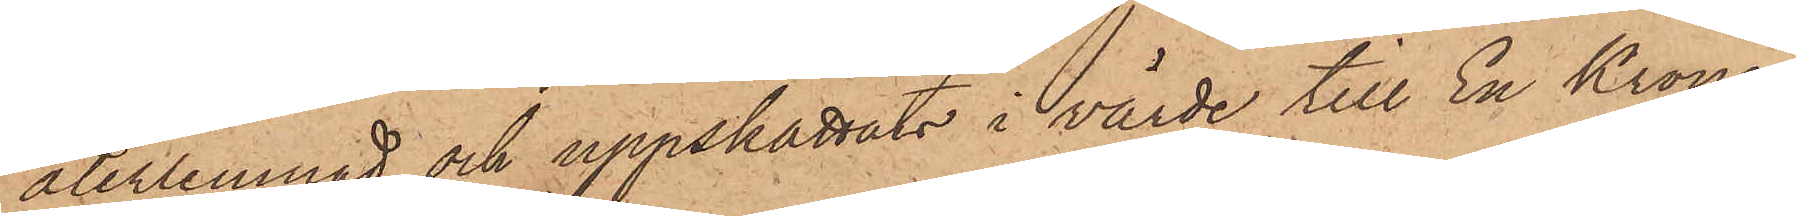återlemnad och uppskattats i värde till En Krona.
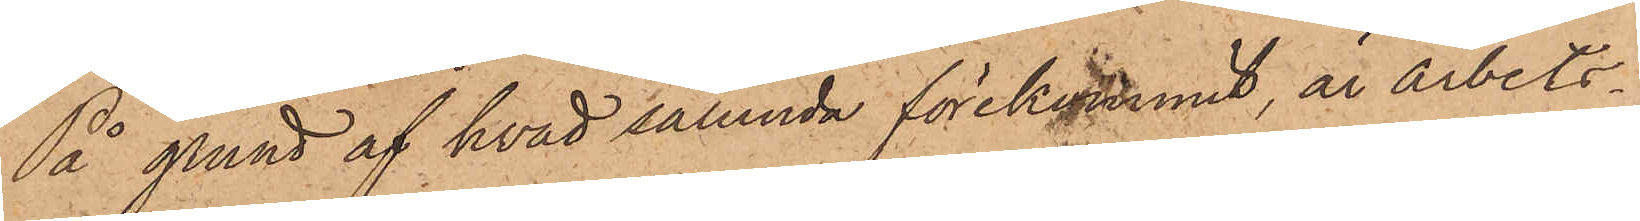På grund af hvad sålunda förekommit, är arbets¬
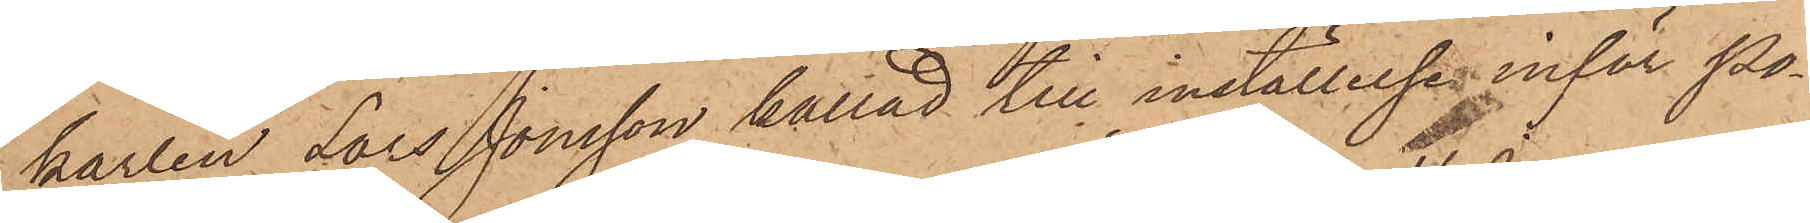karlen Lars Jonsson kallad till inställelse inför Po¬
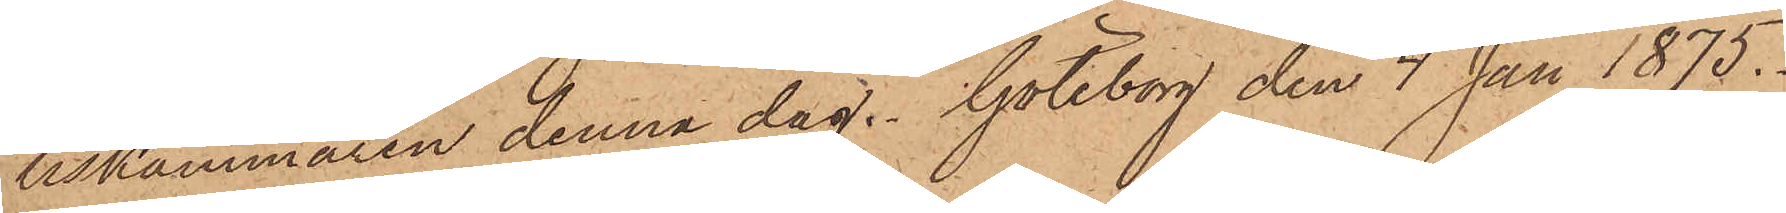liskammaren denna dag. Göteborg den 4 Jan 1875.
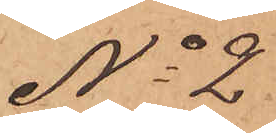No 2.
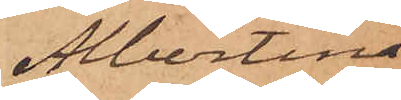Albertina
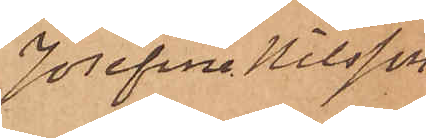Josefina Nilsson
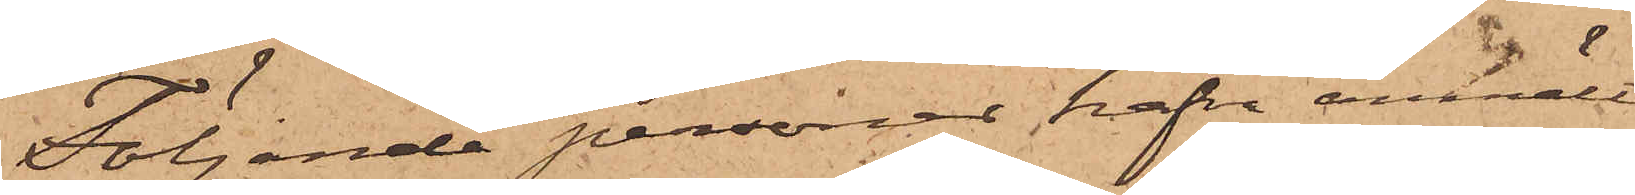Följande personer hafva anmält
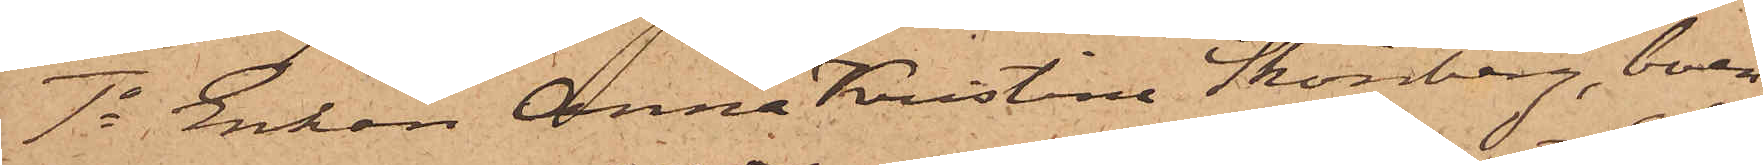1o Enkan Anna Kristina Skönberg, boen¬
